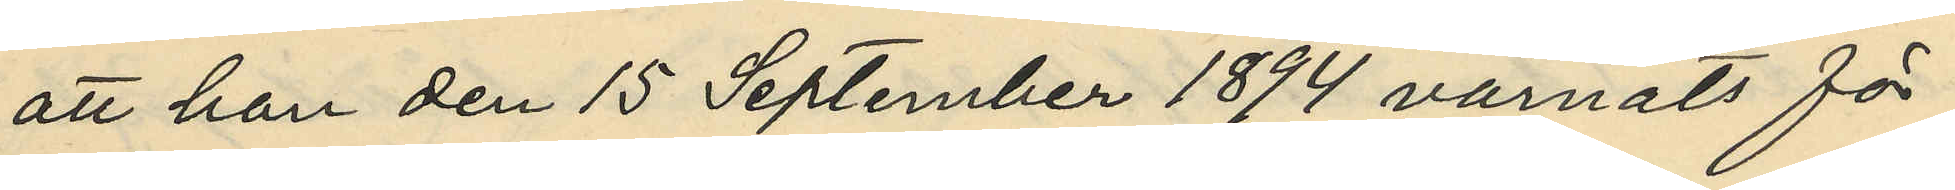att han den 15 September 1894 varnats för
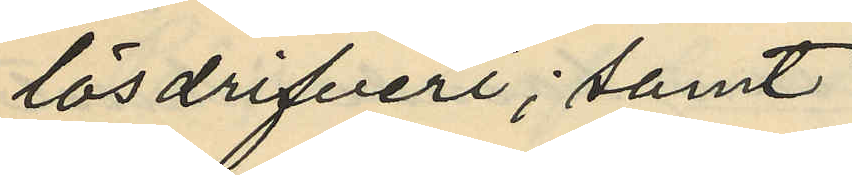lösdrifveri; samt
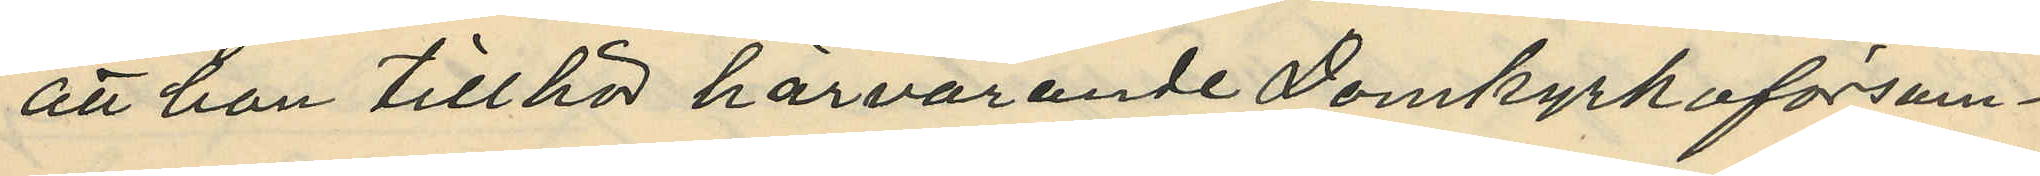att han tillhör härvarande Domkyrkoförsun¬
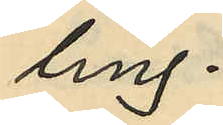ling.
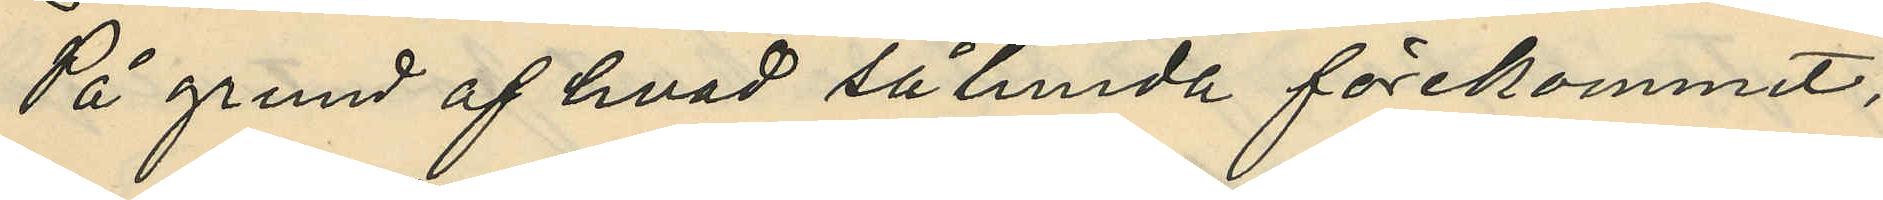På grund af hvad sålunda förekommit,
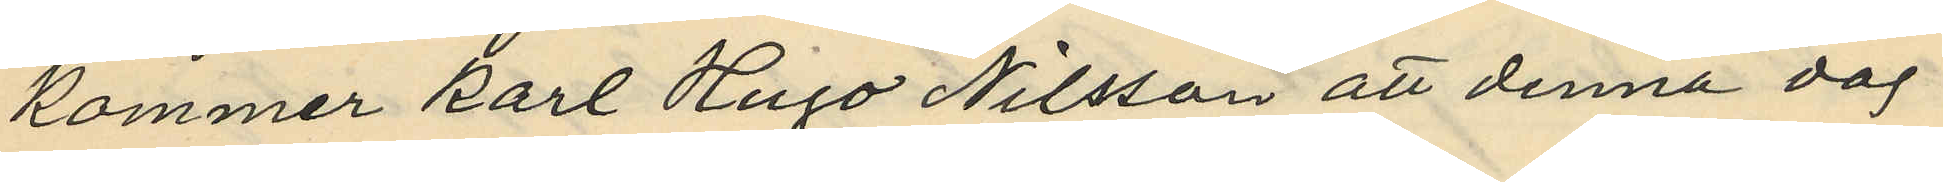kommer Karl Hugo Nilsson att denna dag
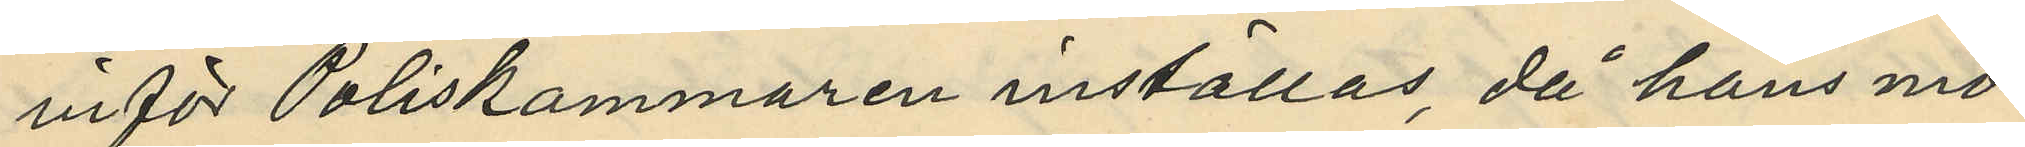inför Poliskammaren inställas, då hans mo¬
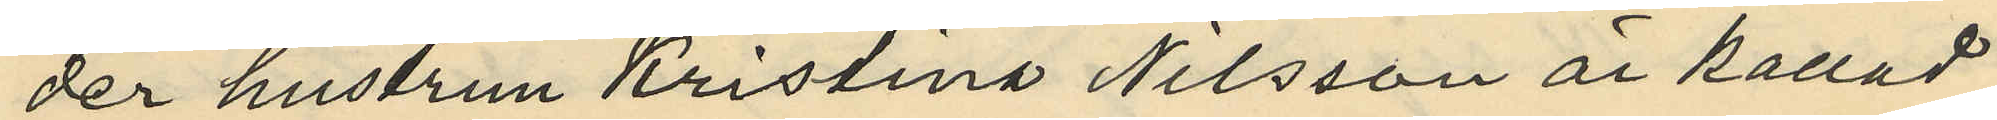der hustrun Kristina Nilsson är kallad
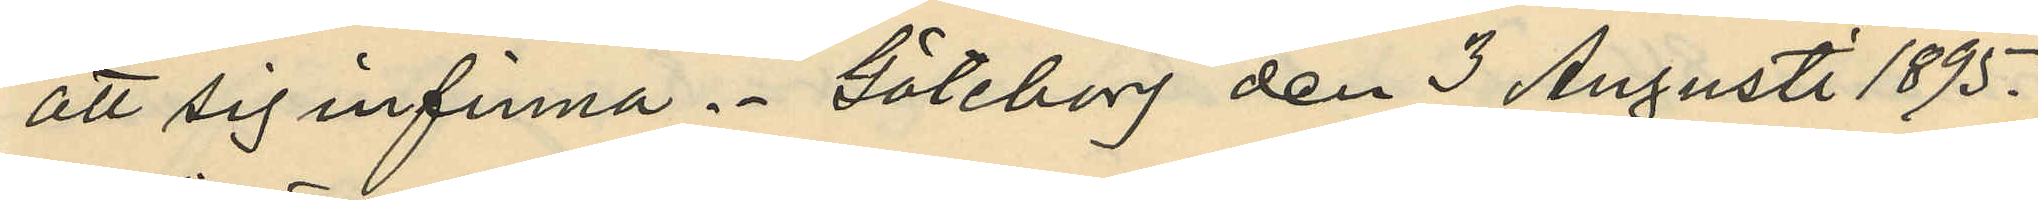att sig infinna. Göteborg den 3 Augusti 1895.
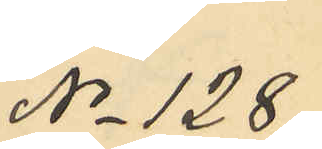No 128
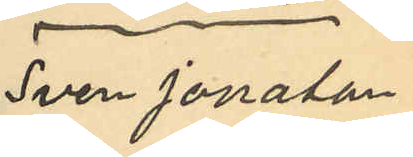Sven Jonatan
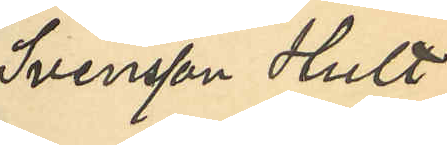Svensson Hult
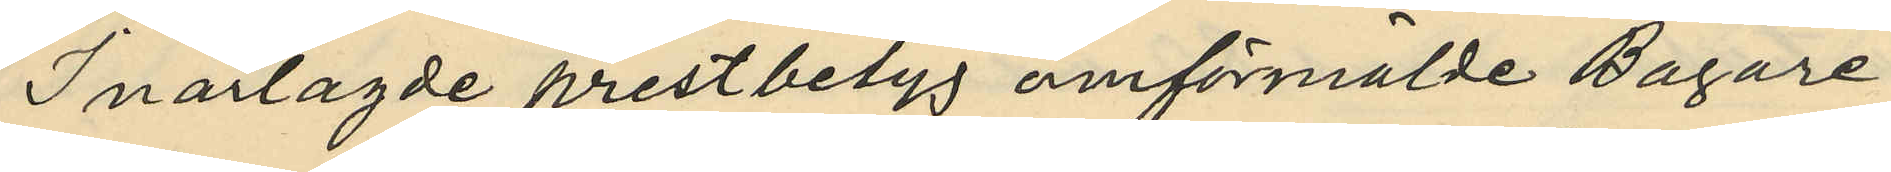I närlagde prestbetyg omförmälde Bagare
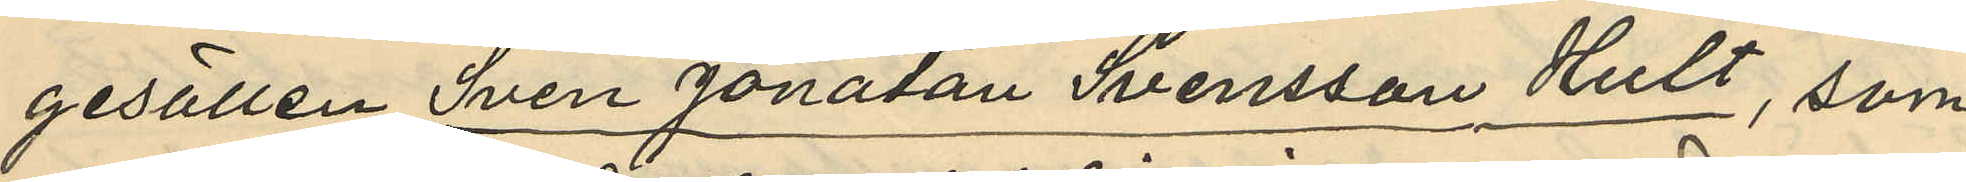gesällen Sven Jonatan Svensson Hult, som
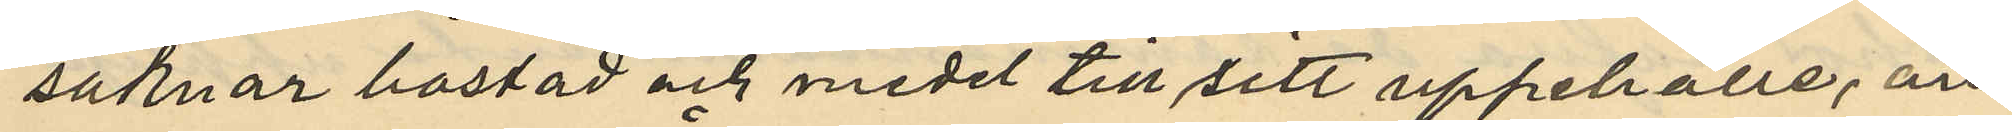saknar bostad och medel till sitt uppehälle, an¬
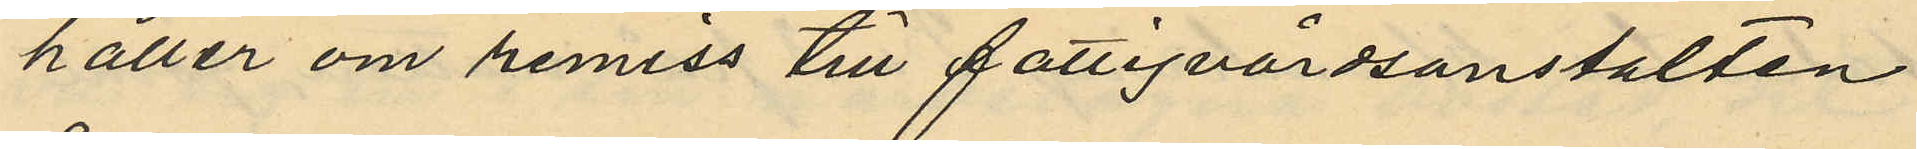håller om remiss till fattigvårdsanstalten
